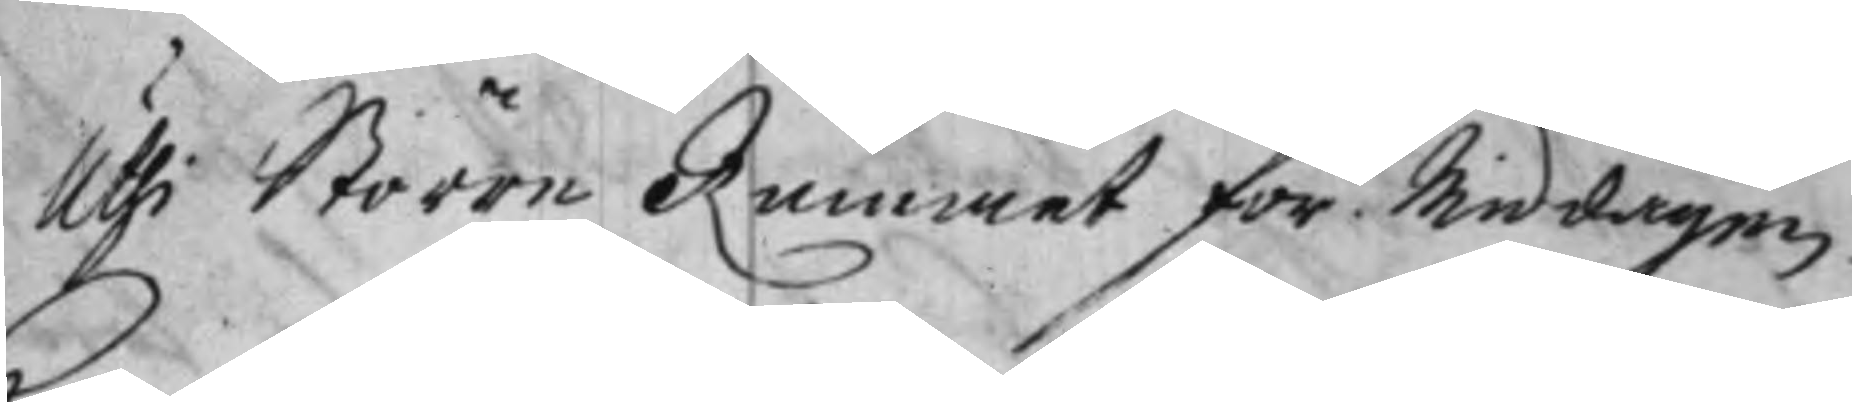Uthi Större Rummet för Middagen
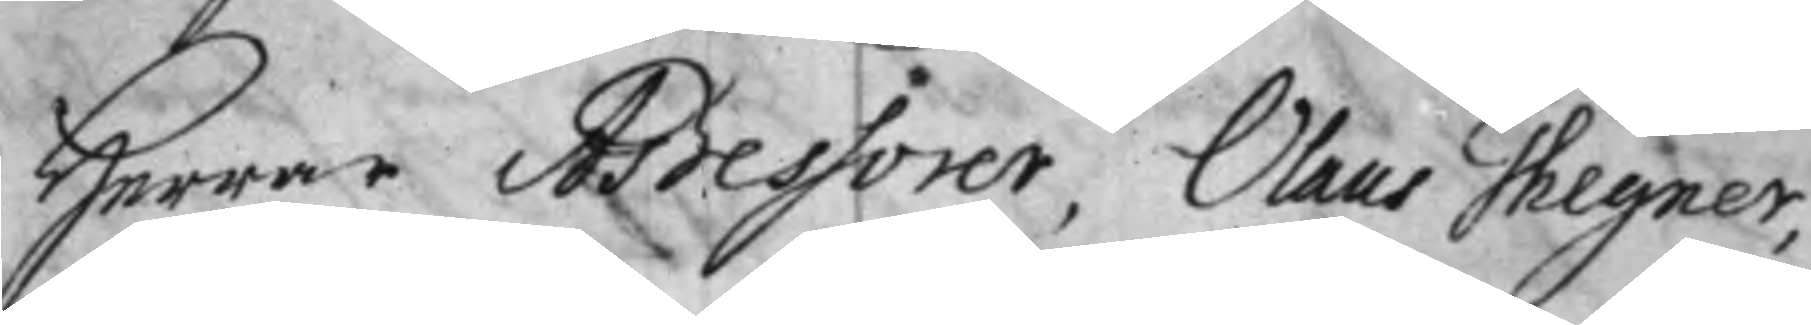Herrar Aßessorer, Olaus Thegner,
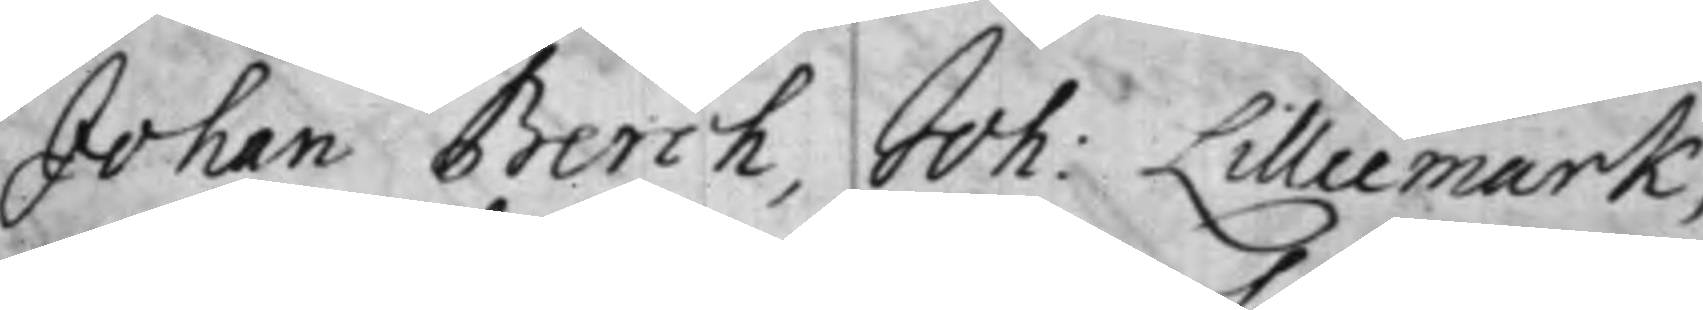Johan Berch, Joh: Lilliemark,
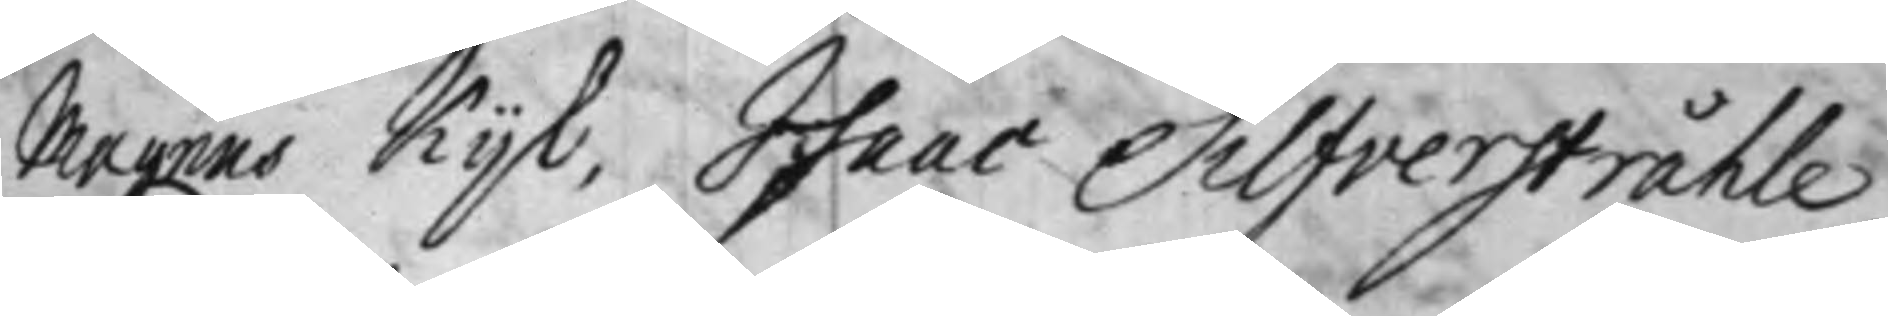Magnus Kijl, Isaac Silfverstråhle,
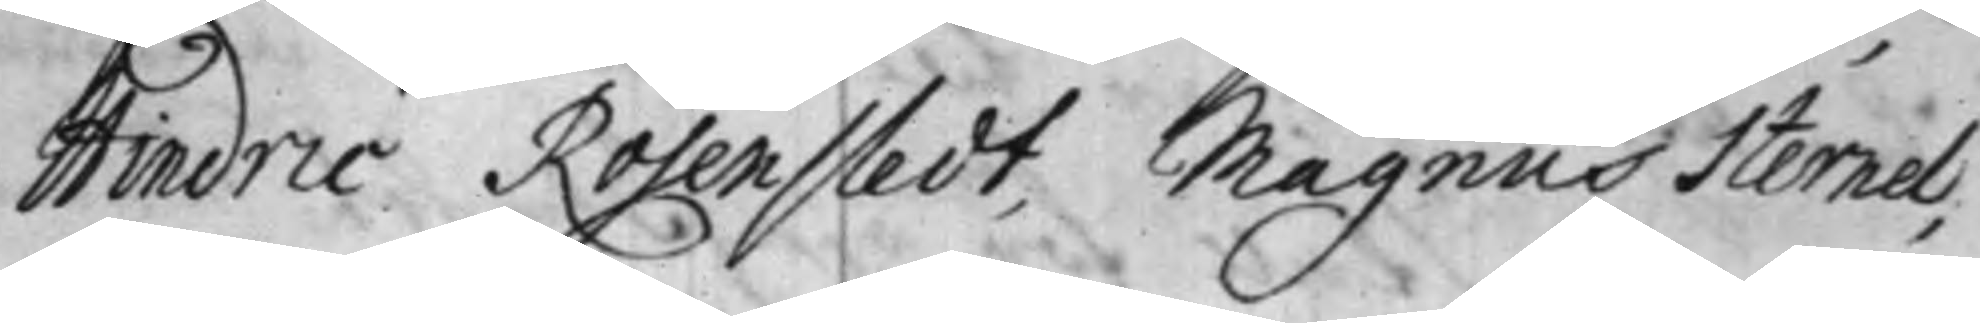Hindric Rosenstedt, Magnus Sternel,
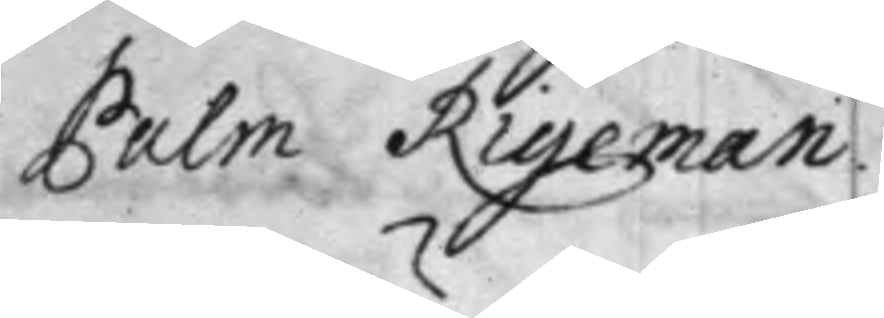Palm Rigeman.
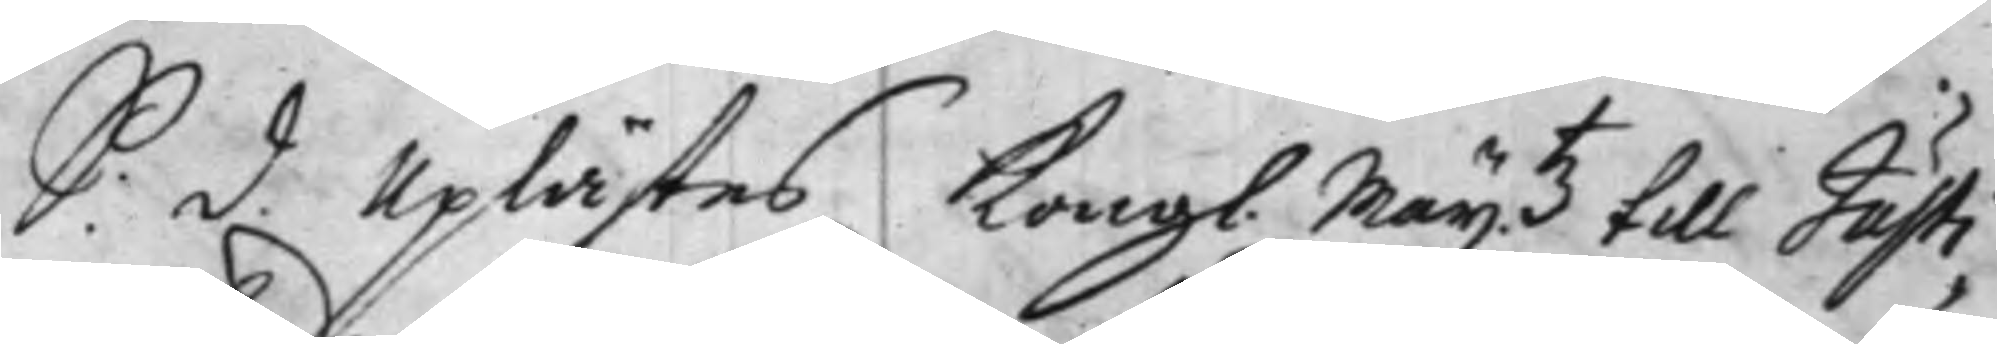S: d. Uplästes Kongl. Maij.tz till Justi¬
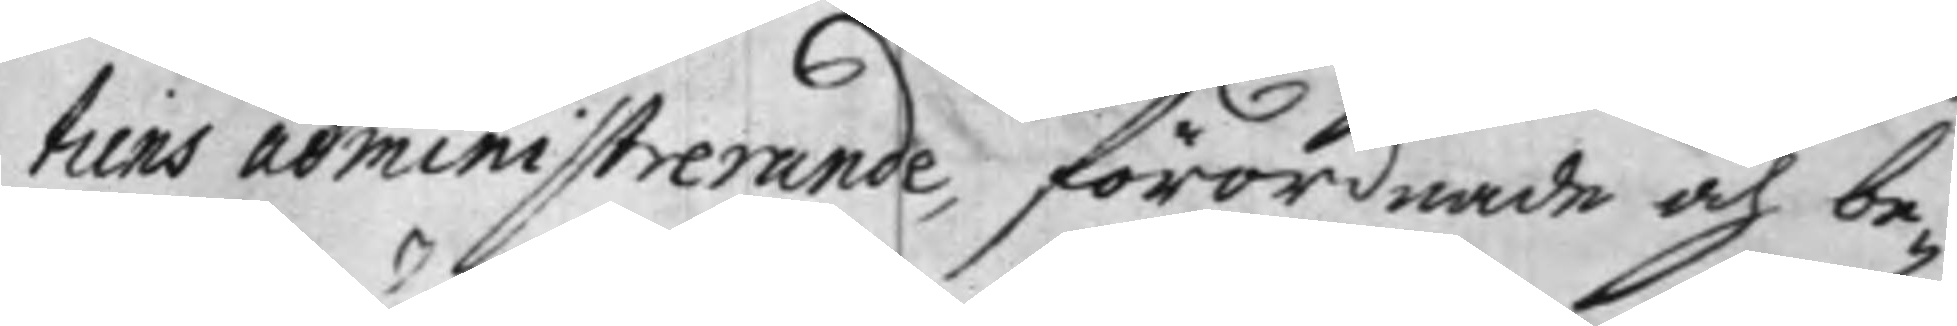tiens administrerande, förordnade och be¬
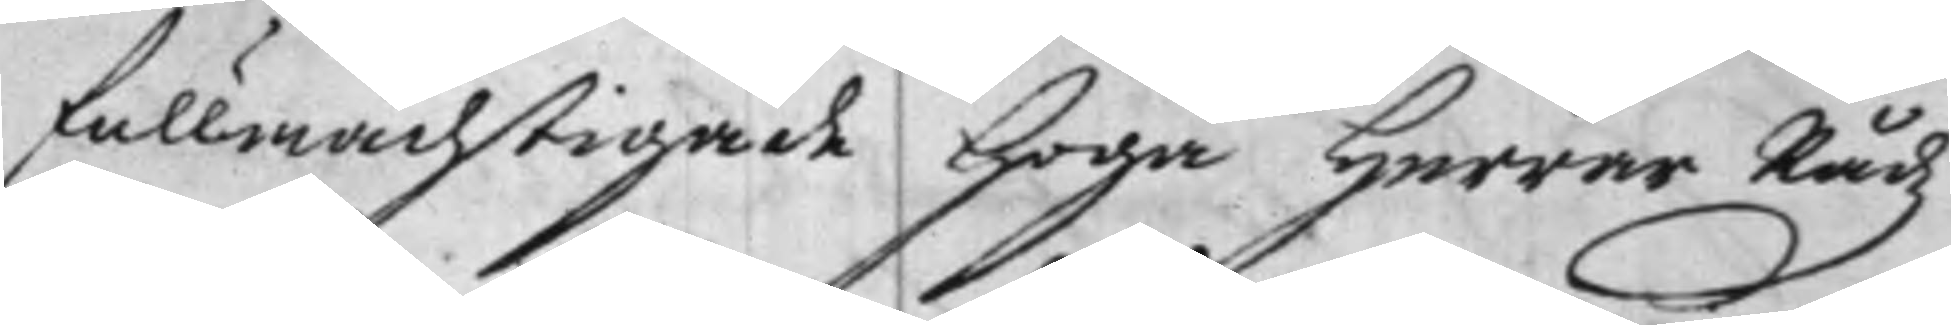fullmächtigade Höga Herrar Rådz
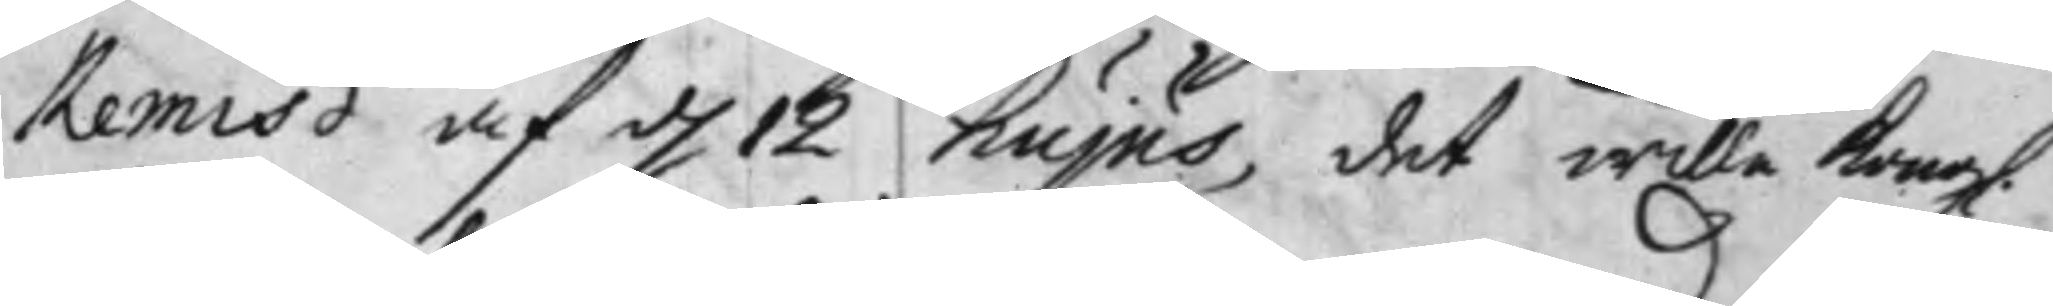Remiß af d. 12 hujus, det wille Kongl.
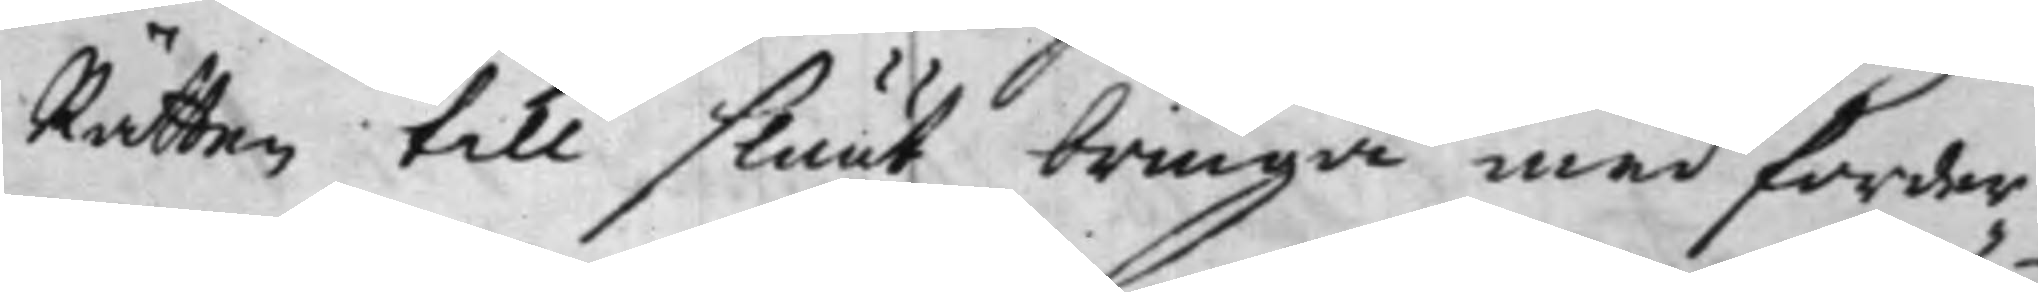Rätten till sluut bringa med forder¬
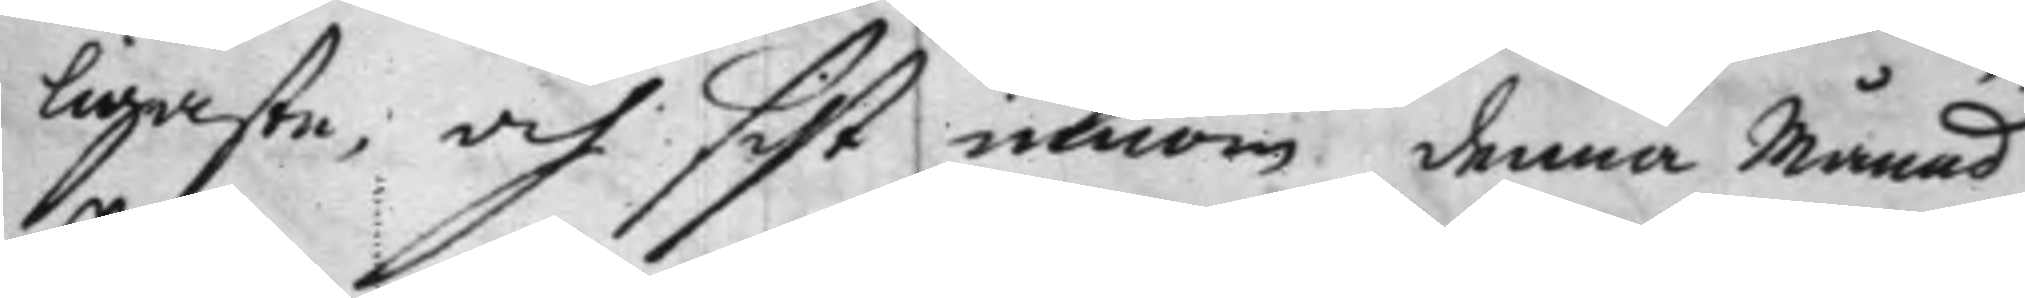ligaste, och sist inom denna Månad
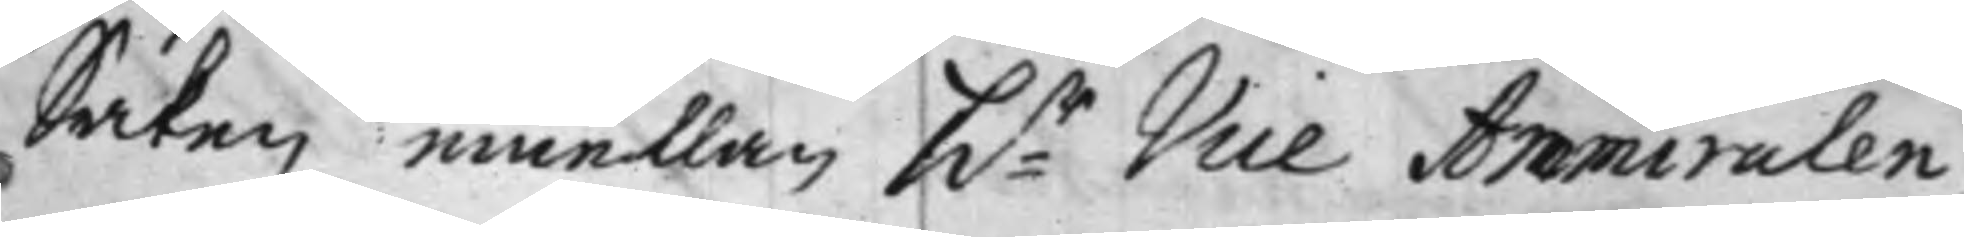Saken emellan hr Vice Ammiralen
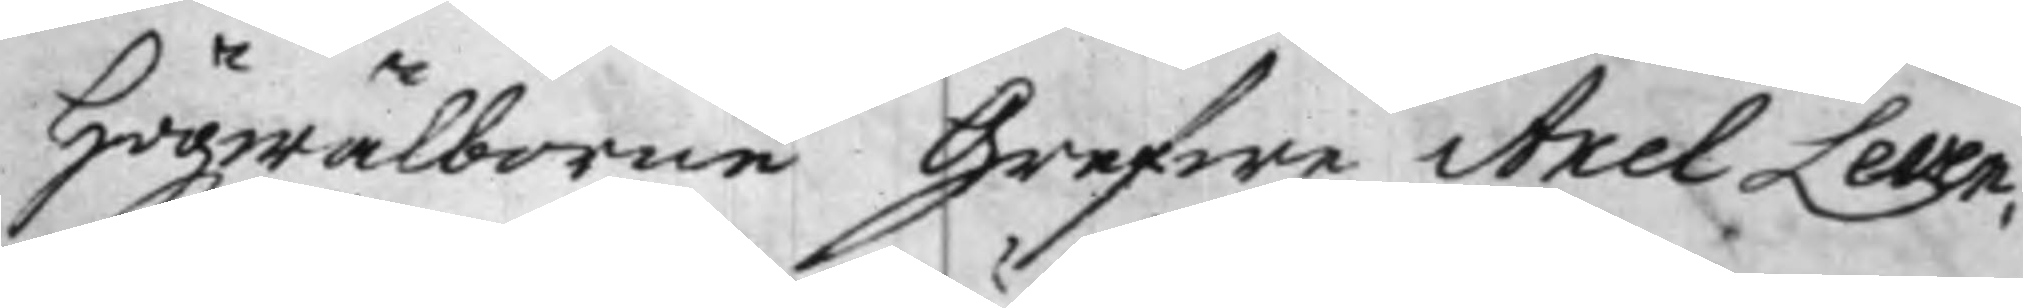Högwälborne Grefwe Axel Leven¬
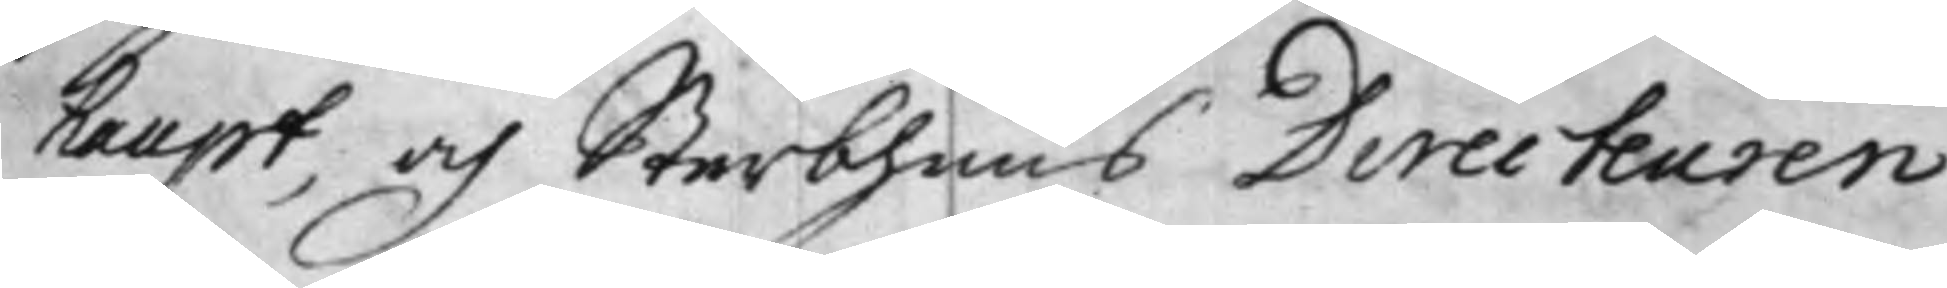haupt, och Sterbhuus Directeuren
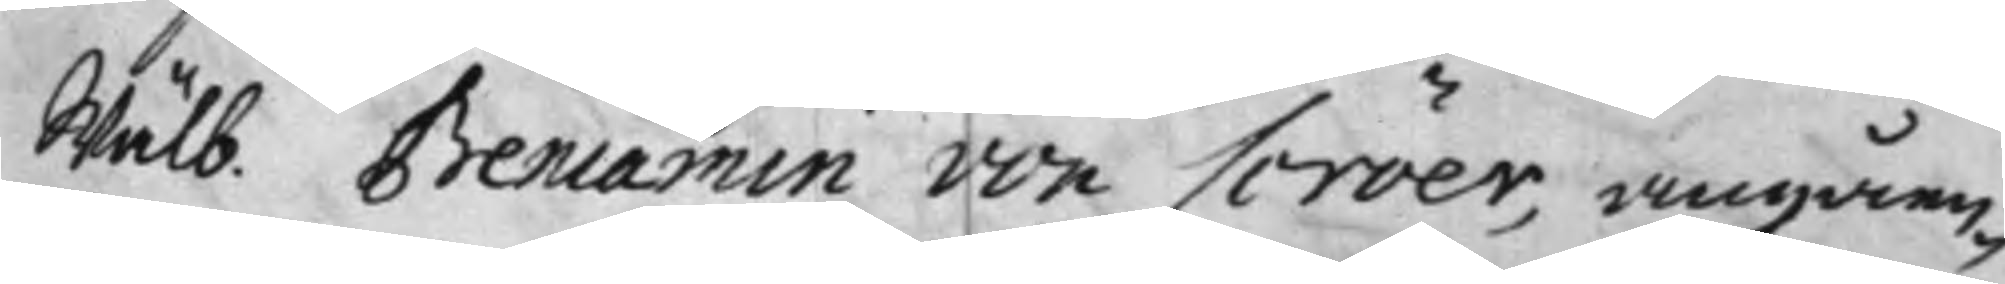Wälb. Beniamin von Scröer, angåen¬
